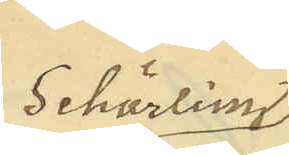Schörling
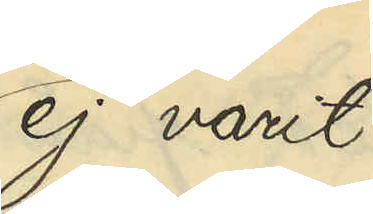ej varit
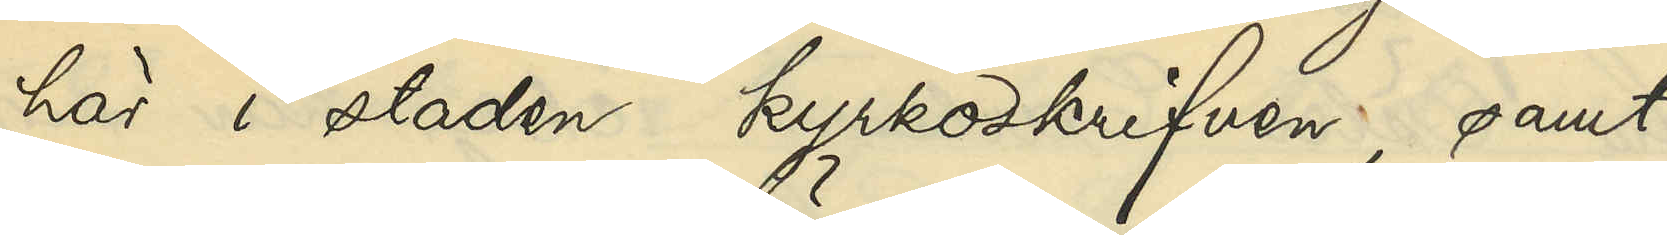här i staden kyrkoskrifven; samt
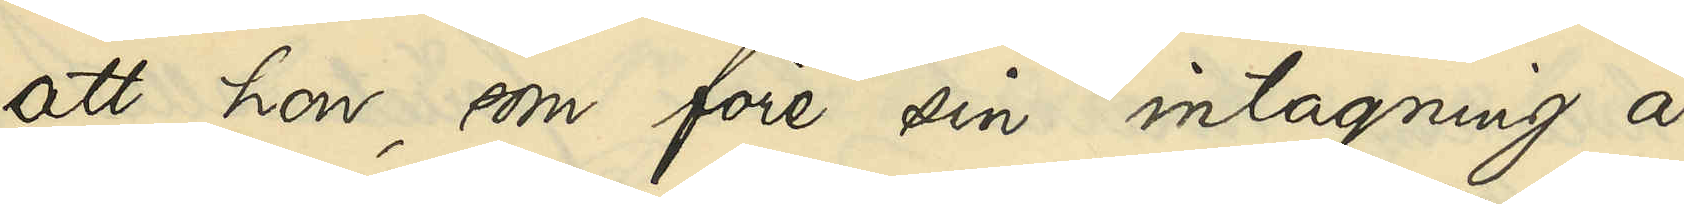att hon, som före sin intagning å
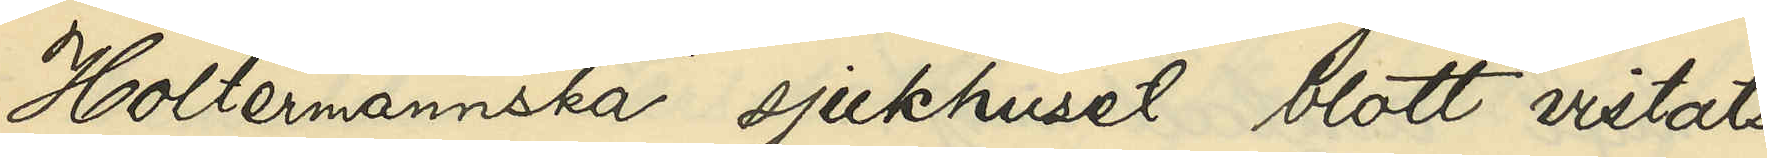Holtermannska sjukhuset blott vistats
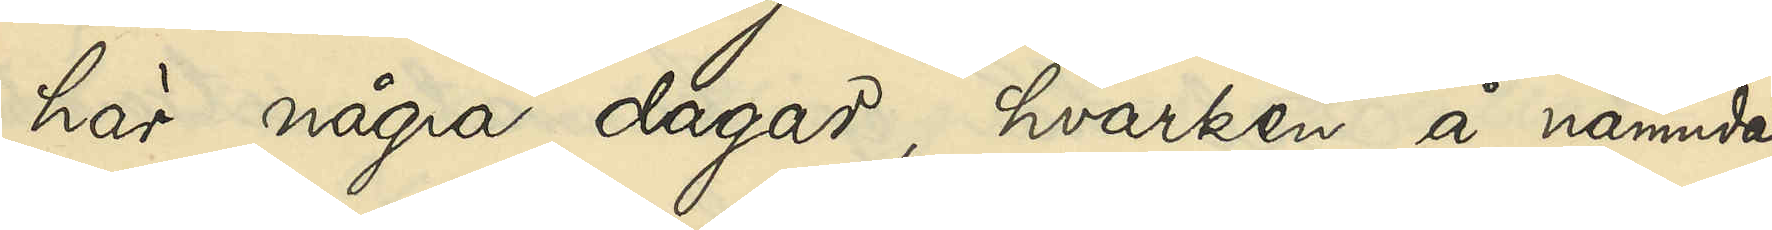här några dagar, hvarken å nämnda
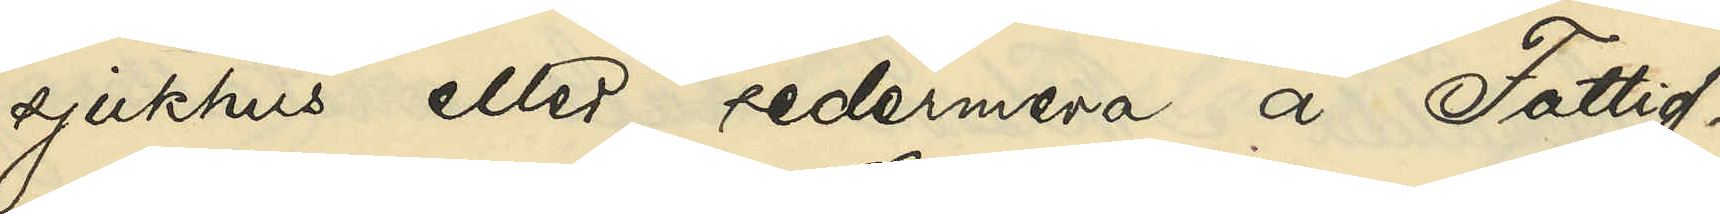sjukhus eller sedermera å Fattig¬
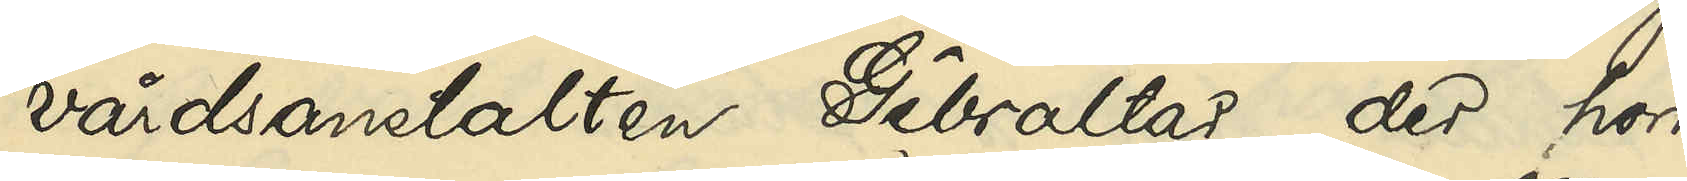vårdsanstalten Gibraltar, der hon
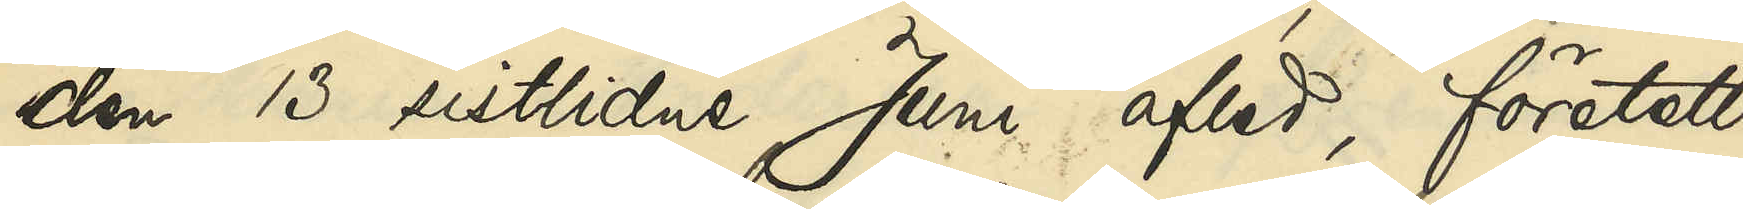den 13 sistlidne Juni afled, företett
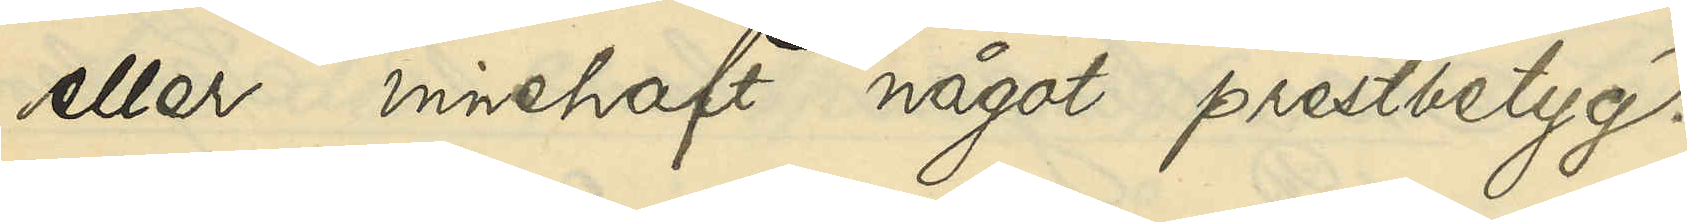eller innehaft något prestbetyg.
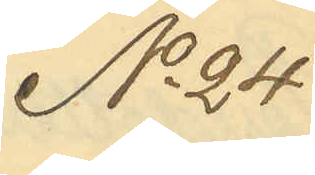No 24
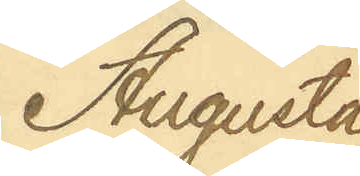Augusta 
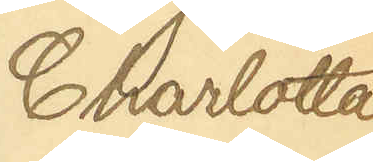Charlotta
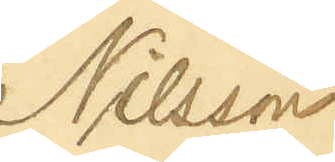Nilsson
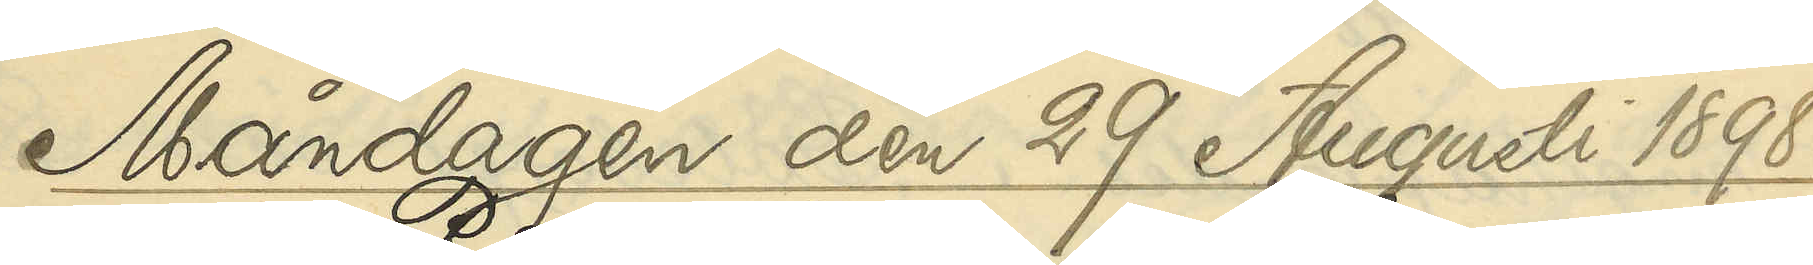Måndagen den 29 Augusti 1898.
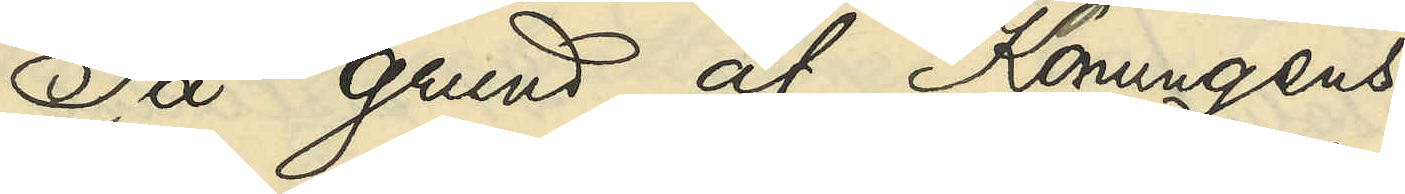På grund af Konungens
